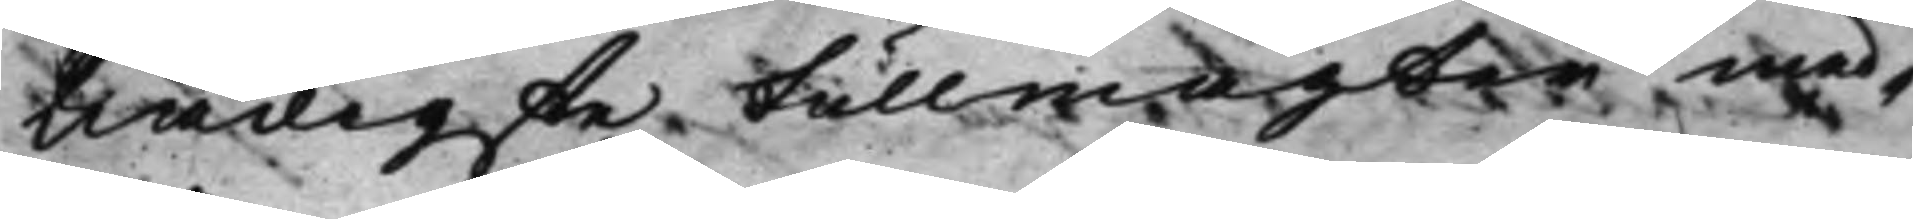Nådigste Fullmagter med¬
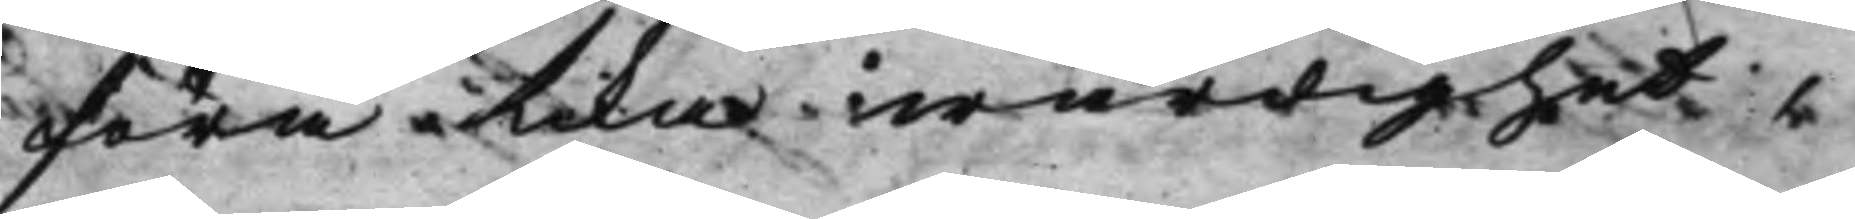föra lika wärdighet,
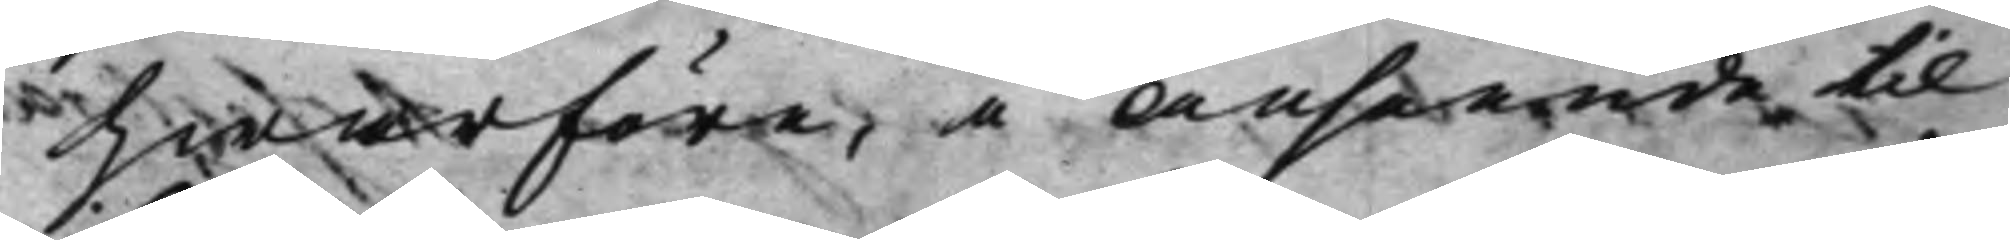hwarföre, i Anseende til
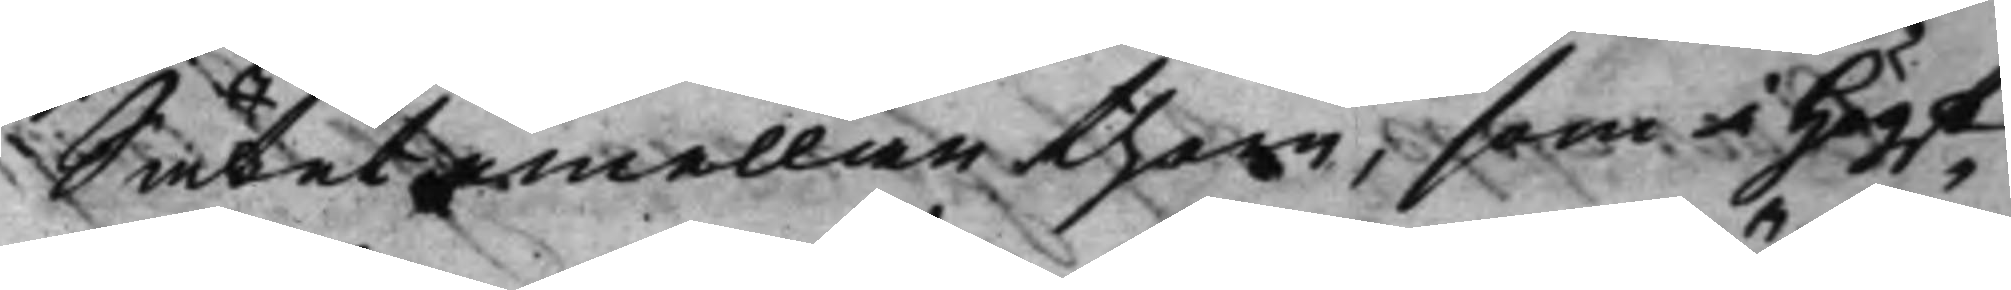Sätet emellan them, som i Högst¬
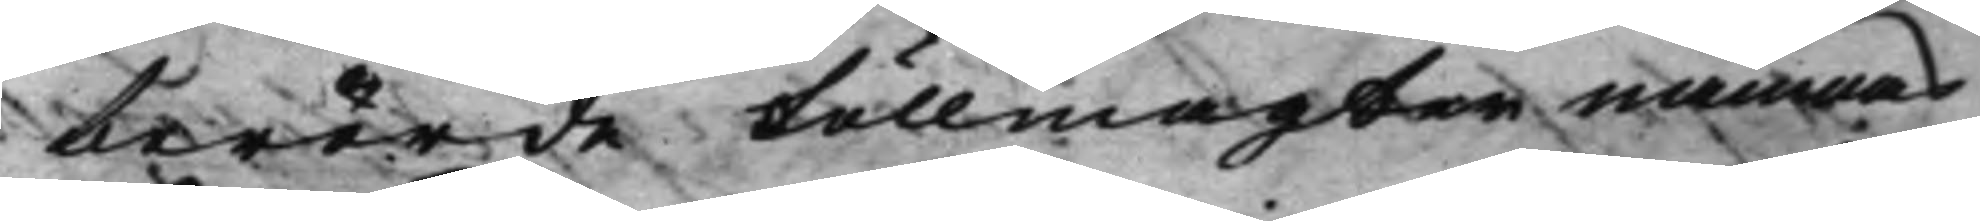berörde Fullmagter nämnas
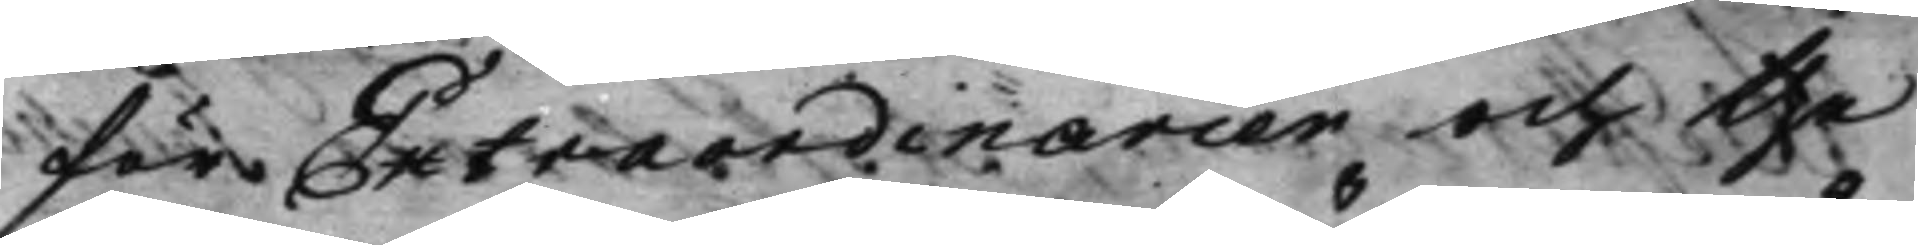för Extraordinarier och the
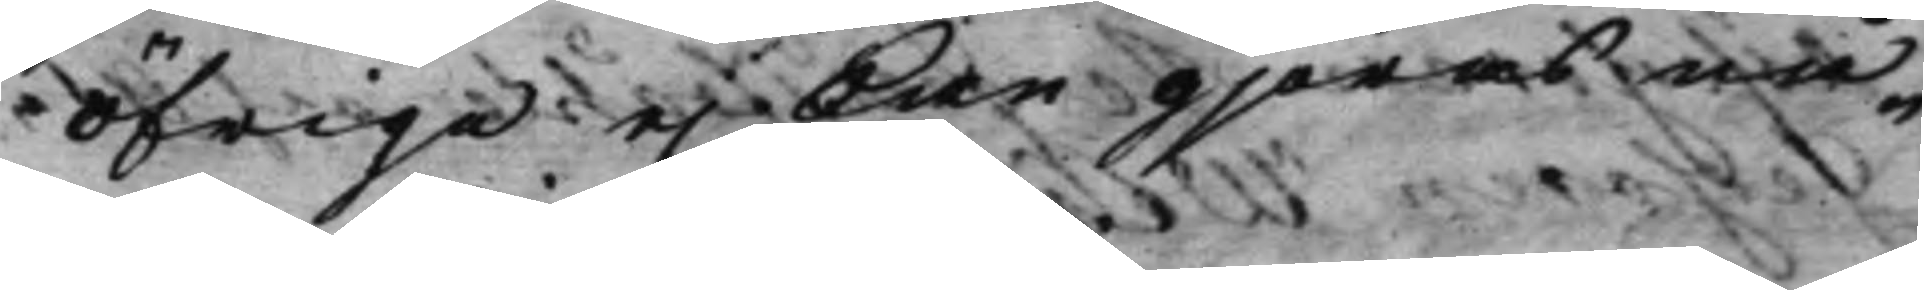öfriga ej kan gjöras nå¬
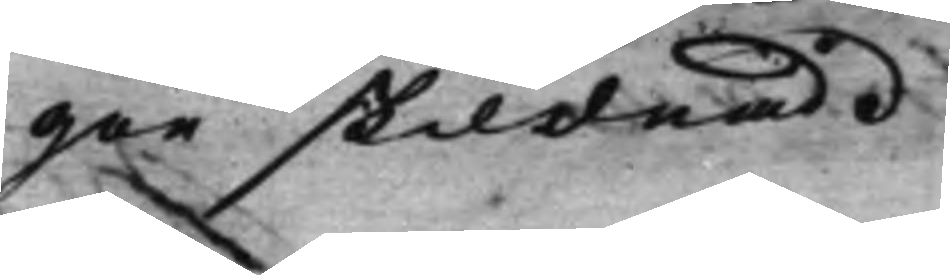gon skildnad
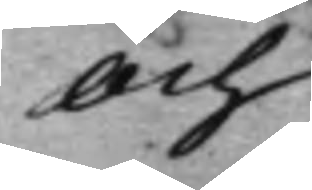Och
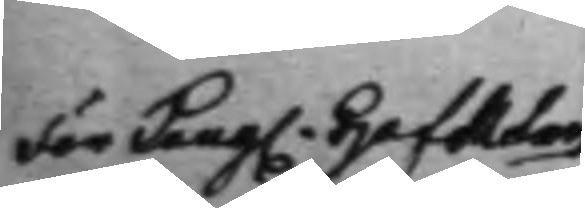För Kong. HofReten
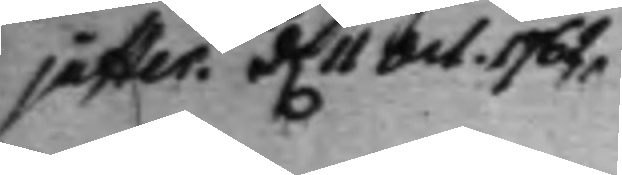juster. d. 11 Oct. 1762. 
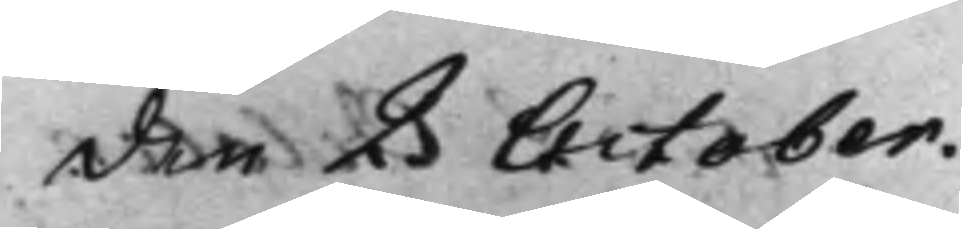den 2 October.
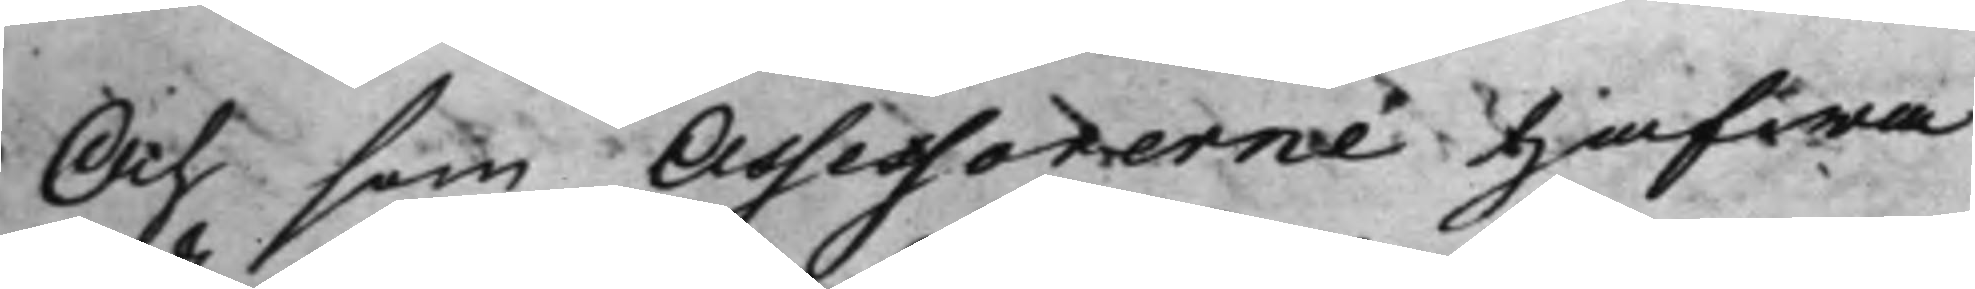Och som Assessorerne hafwa
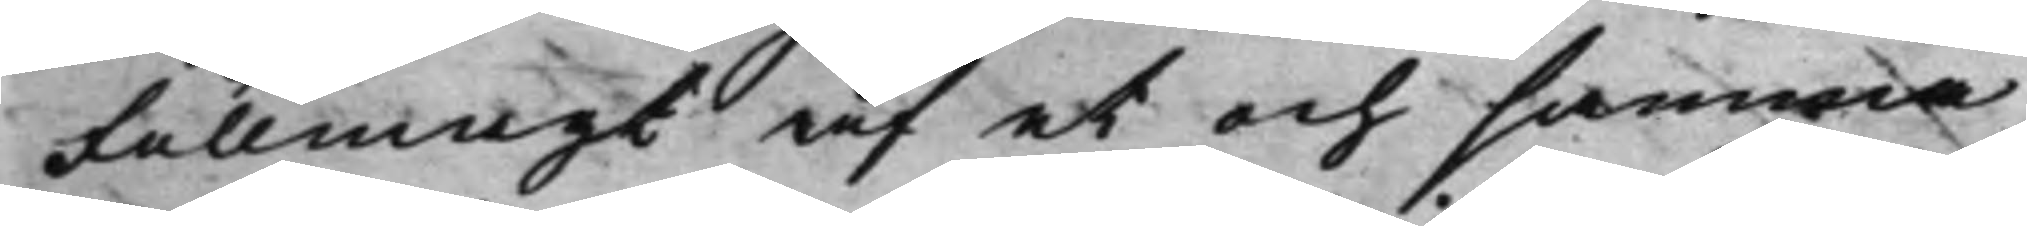Fullmagt af et och samma
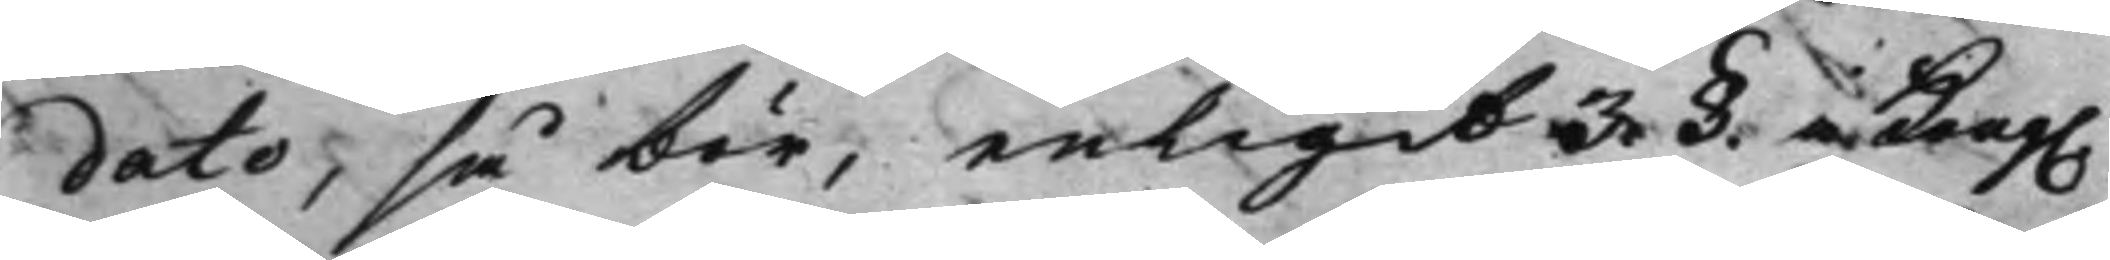dato, så bör, enligit 3. §. i Kong. 
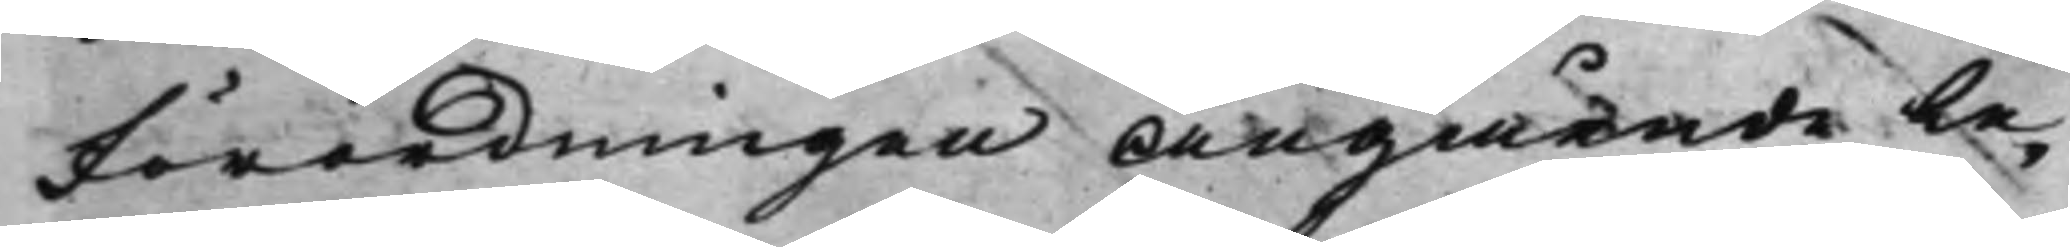Förordningen Angående Le¬
